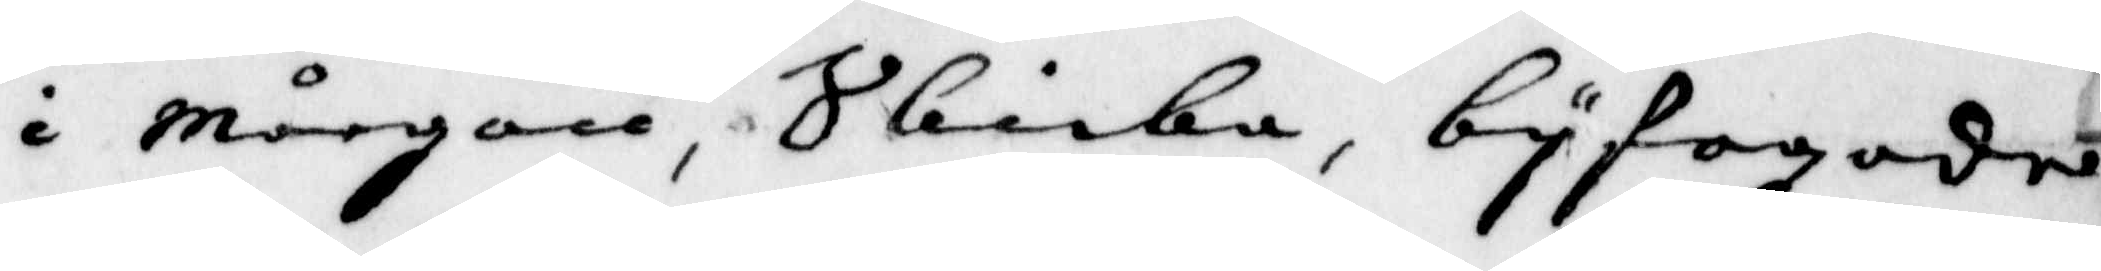i mårgon, Skicka byfogden
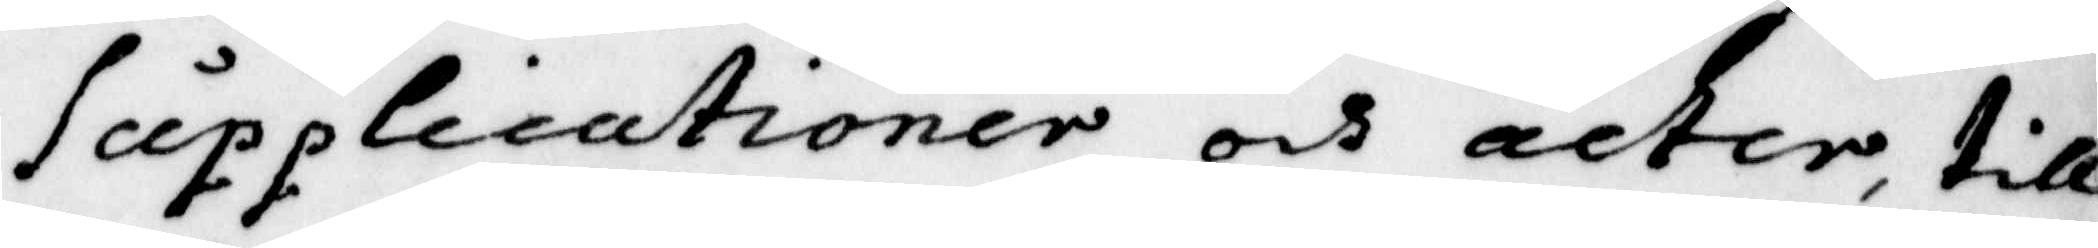Supplicationer och acter, till
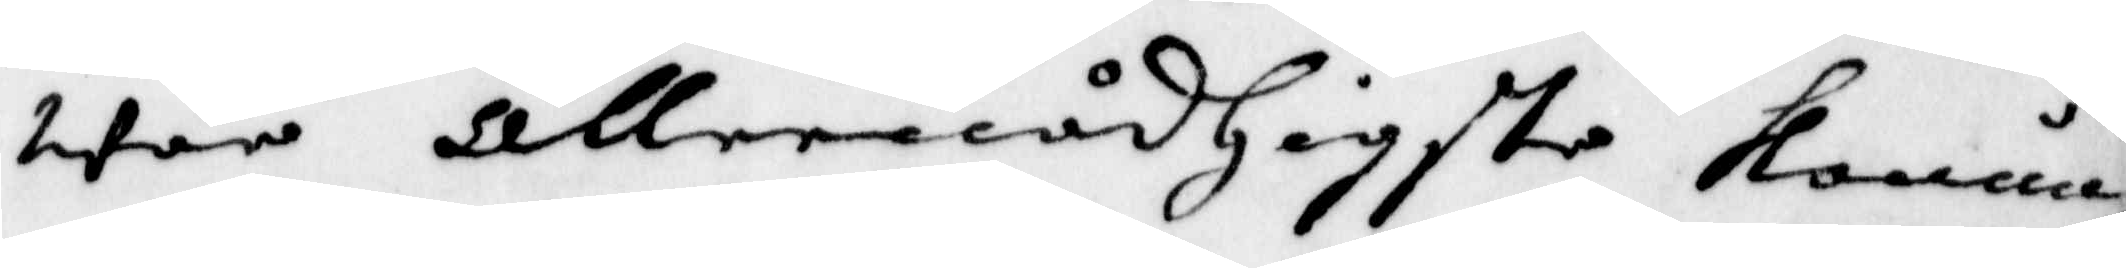wår allernådigste konung
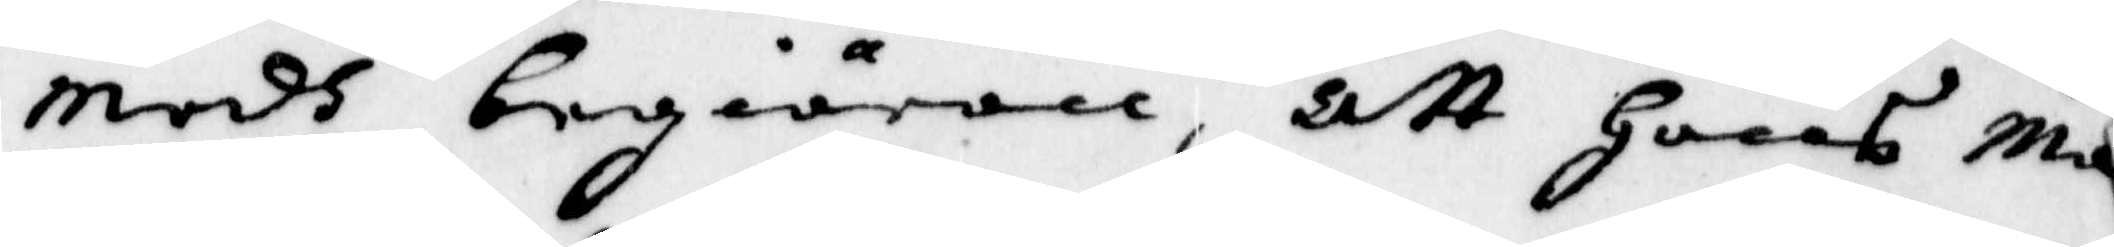medh begiäran, att hans Ma¬
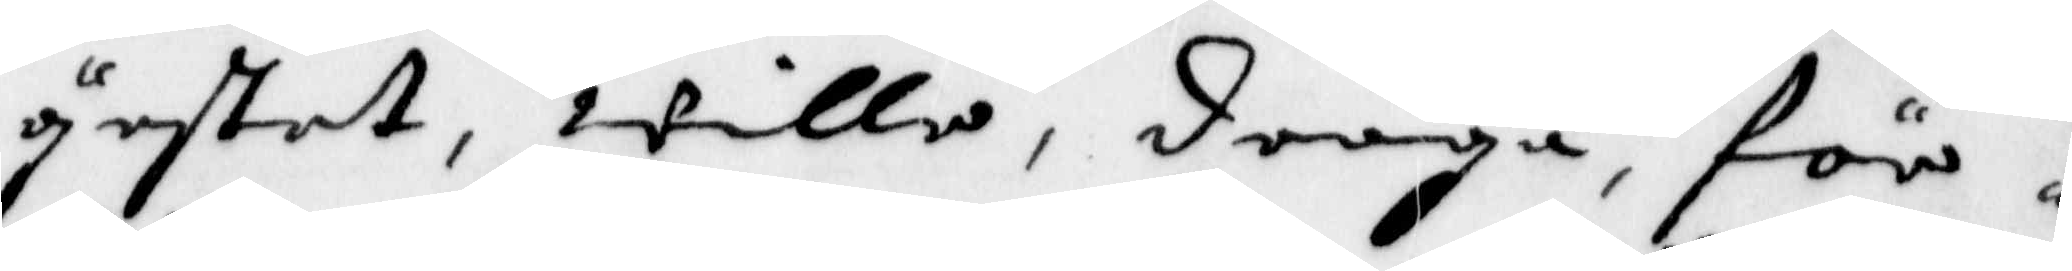yestet, wille, draga, för
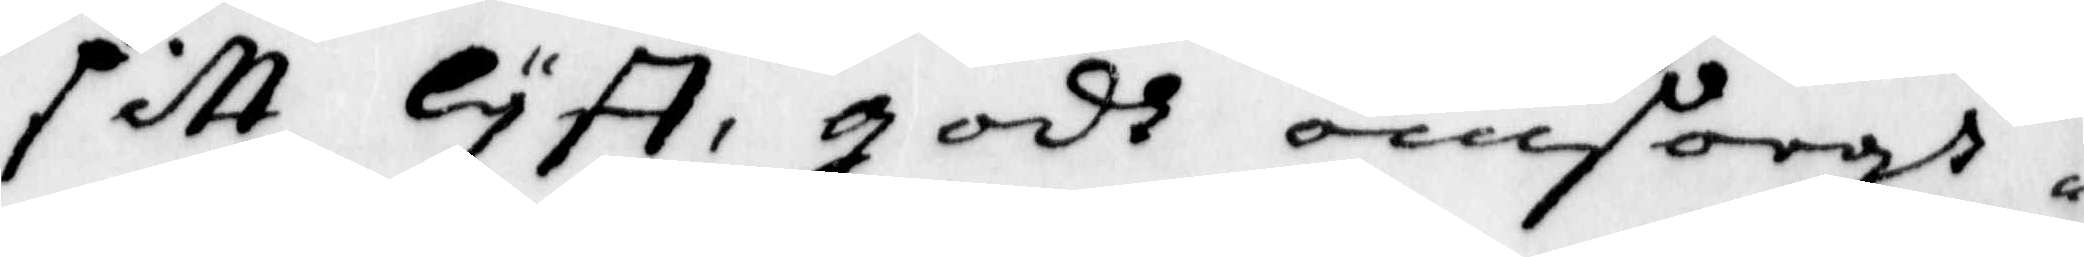sitt lyff, godh omsorgh
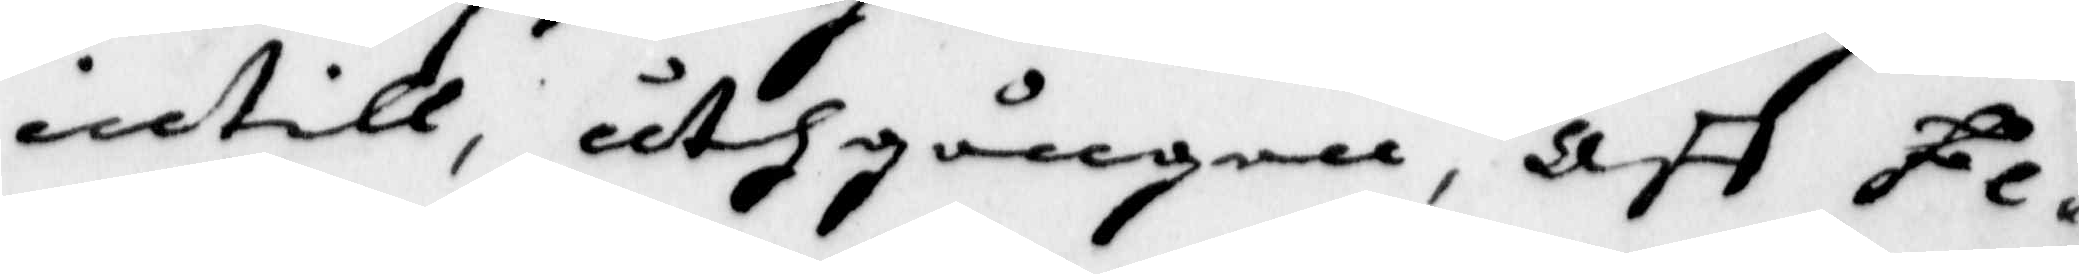intill, åthgången, att Fe¬
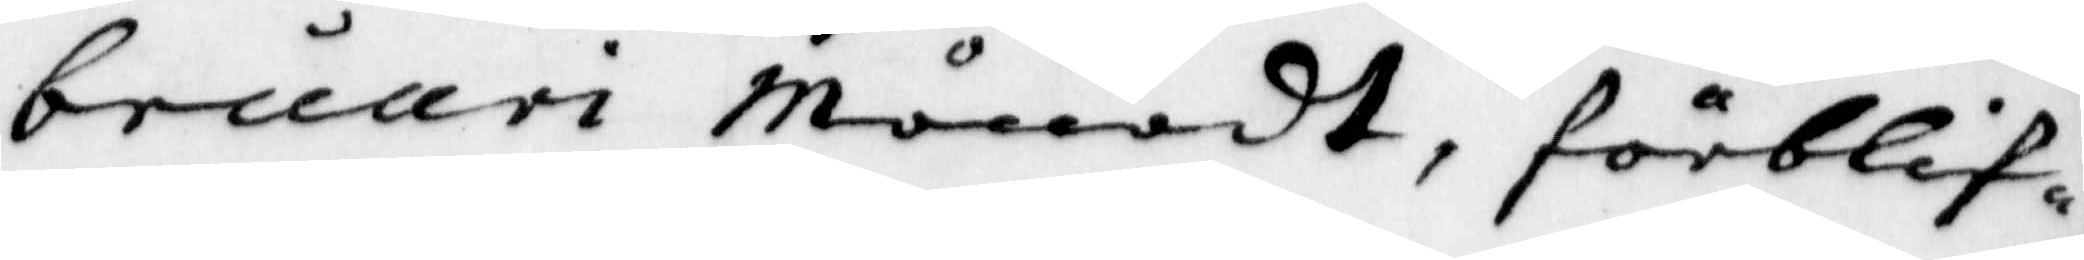bruari Månadt, förblif¬
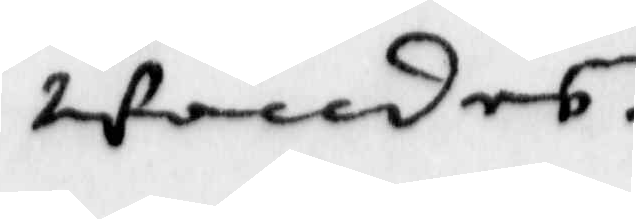wandes.
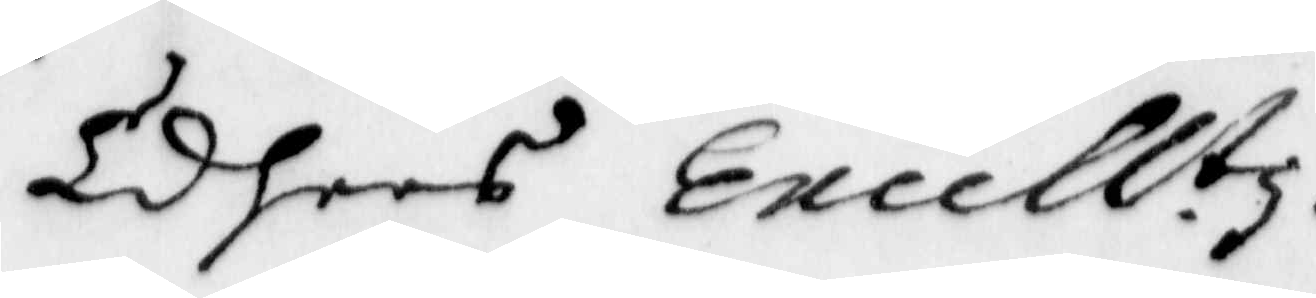Edhers Excell.tz
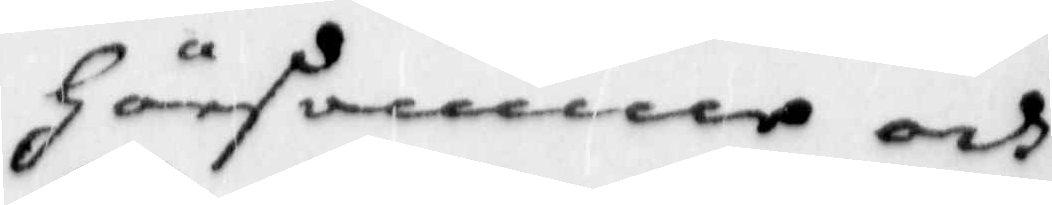Hörsamme och
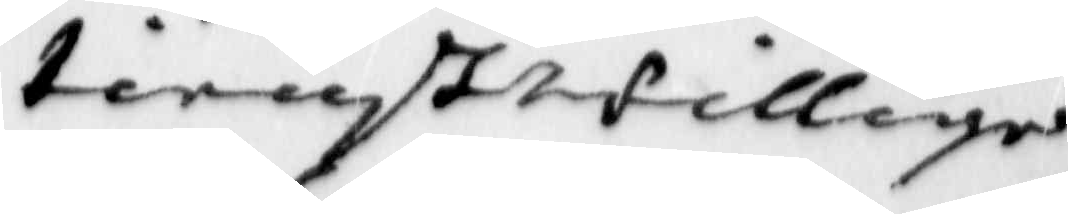tienstwillige
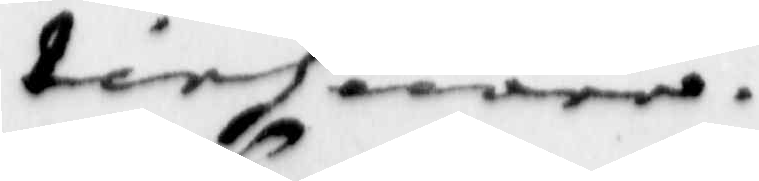tiehnare.
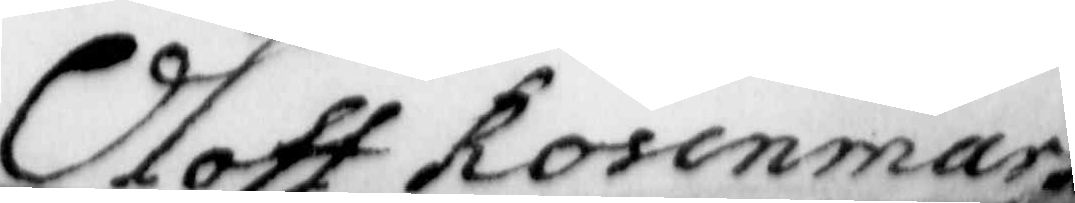Oloff Rosenmark
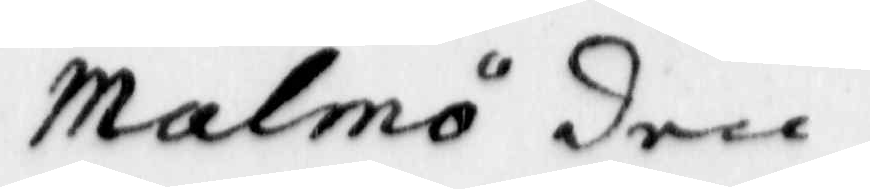Malmö den
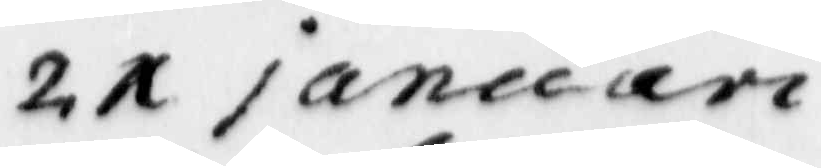21 januari
